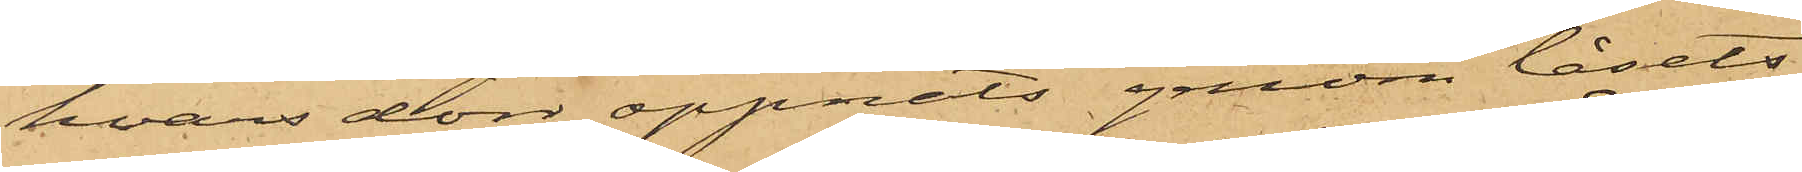hvars dörr öppnats genom låsets
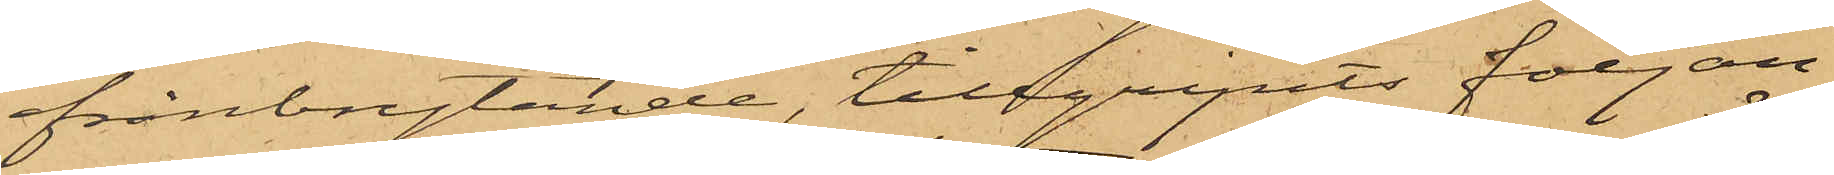frånbrytande, tillgripits följan¬
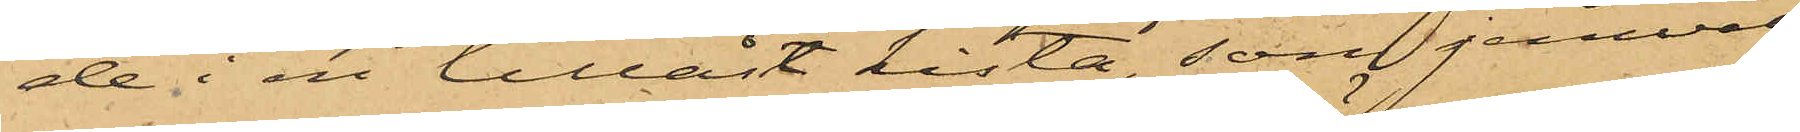de i en tillåst kista, som jemväl
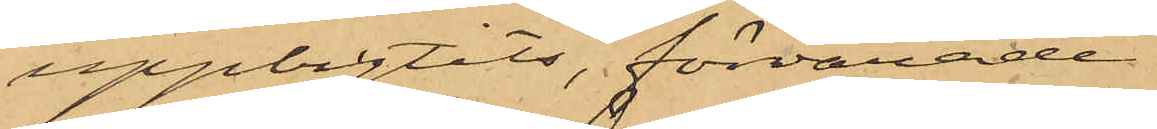uppbrytits, förvarade
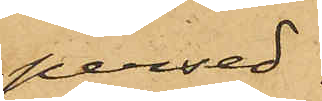persed¬
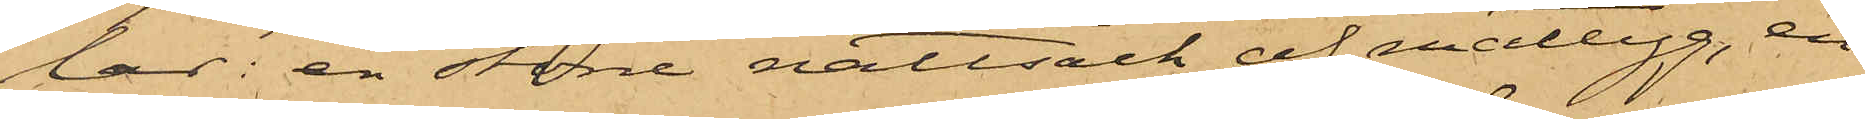lar: en större nattsäck af mattyg, en
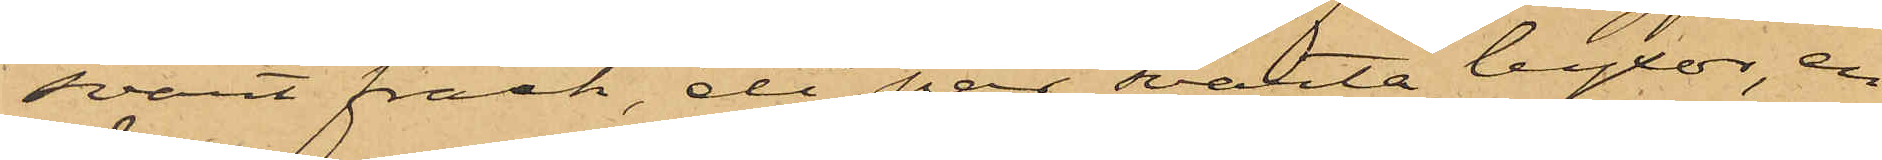svart frack, ett par svarta byxor, en
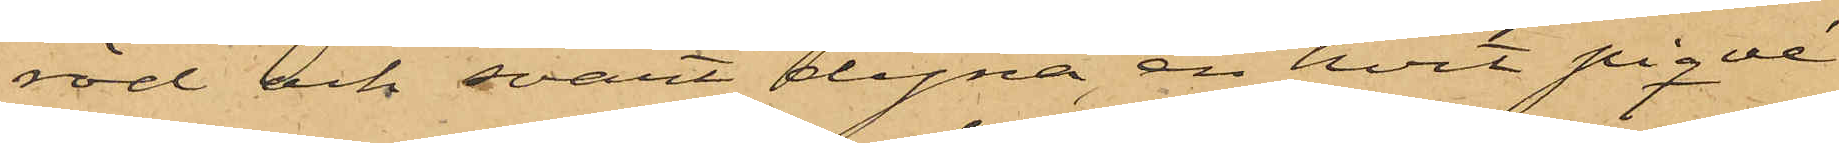röd och svart dyna, en hvit piqué¬
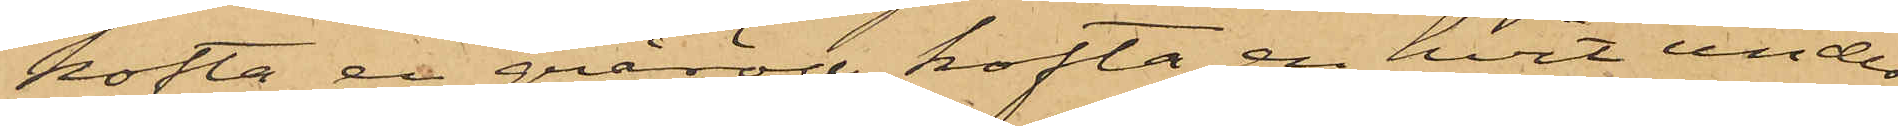kofta, en gråröd kofta, en hvit under¬
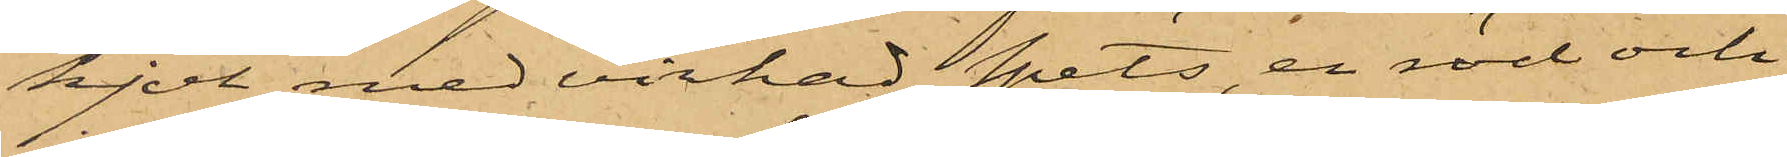kjol med virkad spets, en röd och
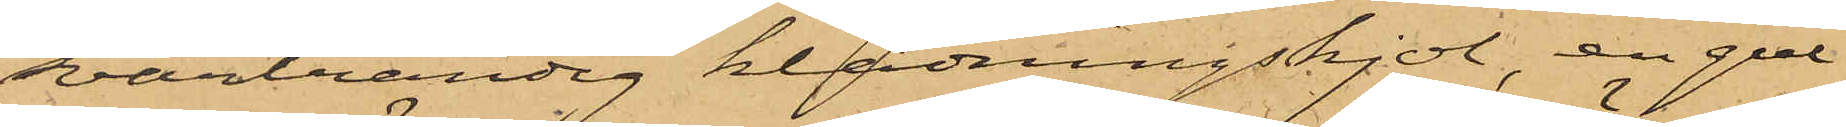svartrandig klädningskjol, en gul
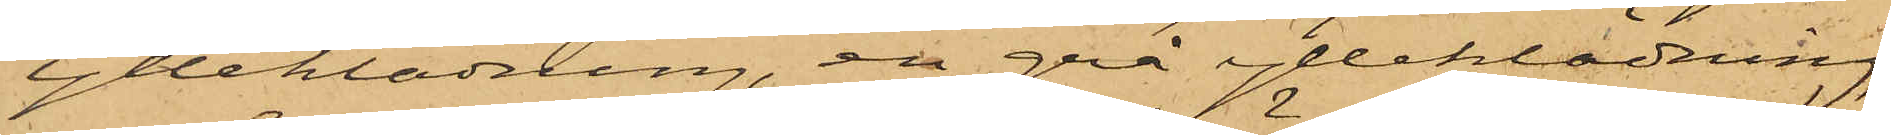ylleklädning, en grå ylleklädning,
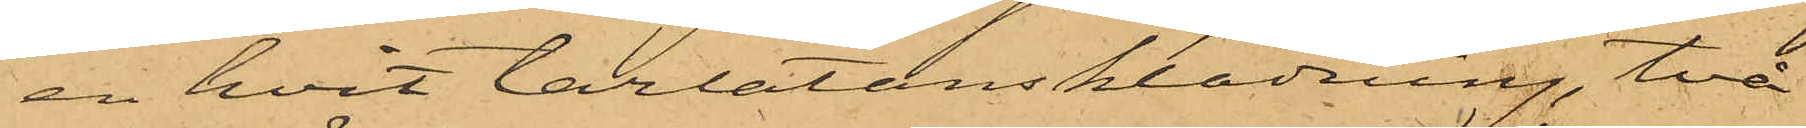en hvit tarlatansklädning, två
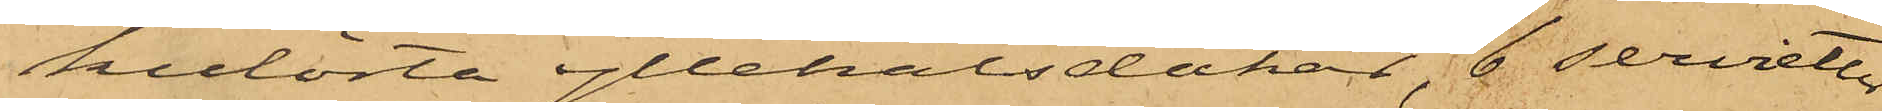kulörta yllehalsdukar, 6 servietter
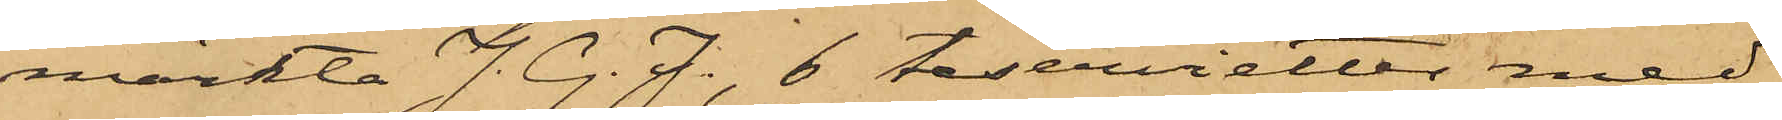märkta J. G. J., 6 teservietter med
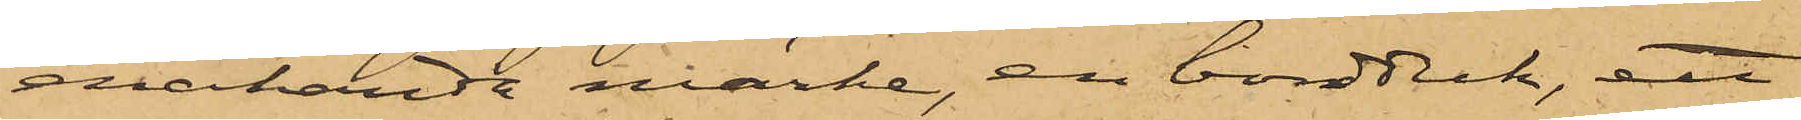enahanda märke, en bordduk, ett
